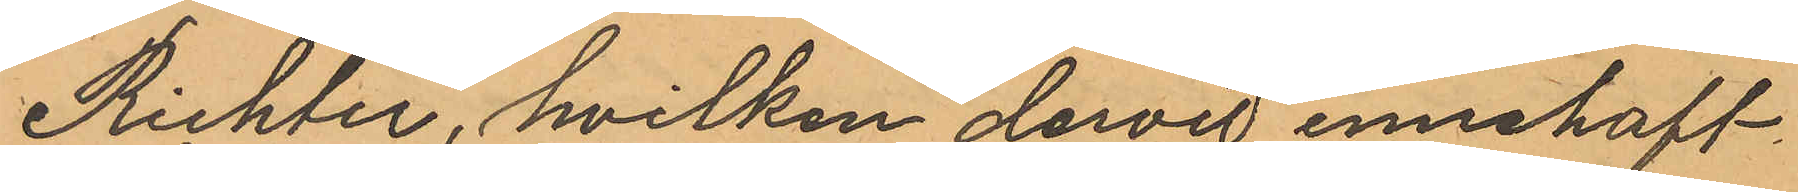Richter, hvilken dervid innehaft
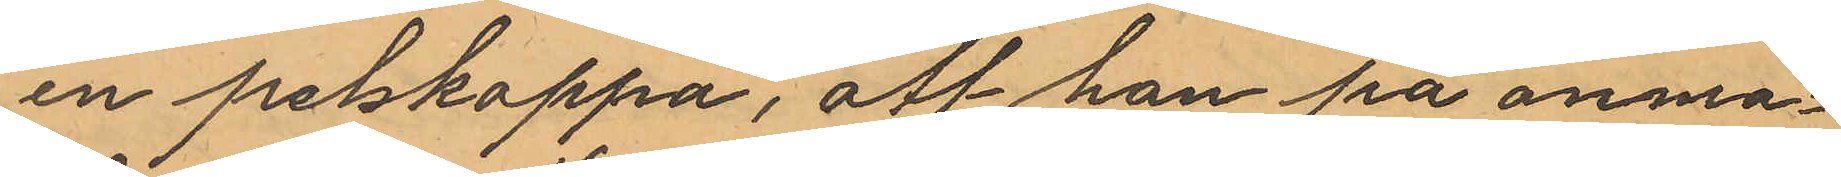en pelskappa, att han på anmo¬
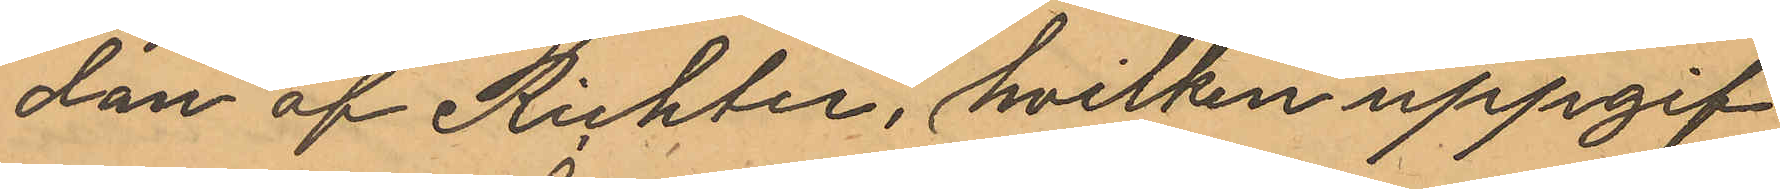dan af Richter, hvilken uppgif¬
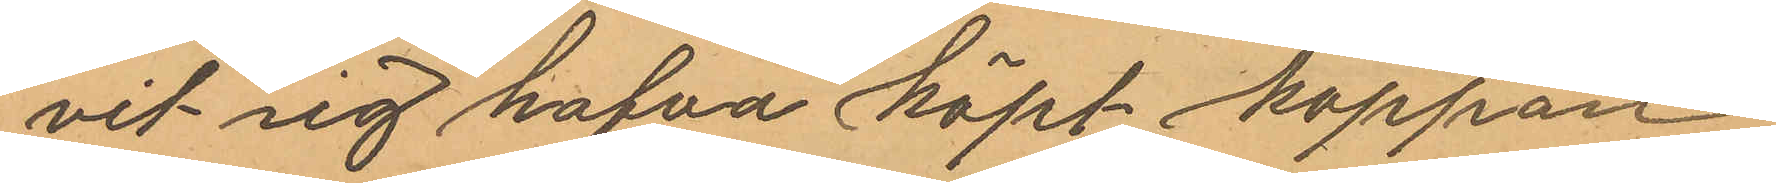vit sig hafva köpt kappan
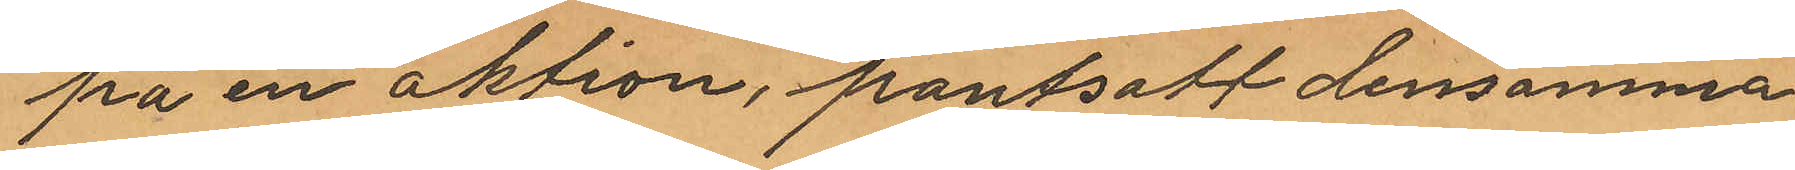på en aktion, pantsatt densamma
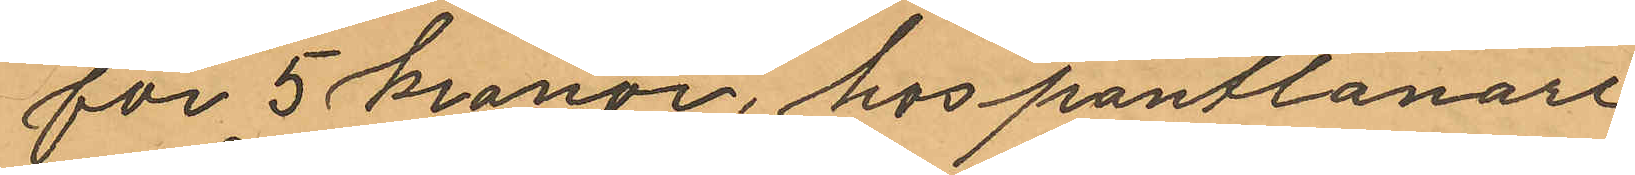för 5 kronor hos pantlånare
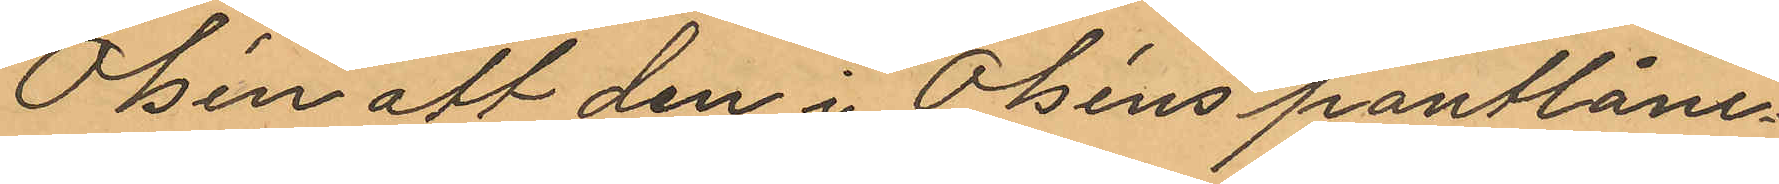Olsén att den i Olséns pantlåne¬
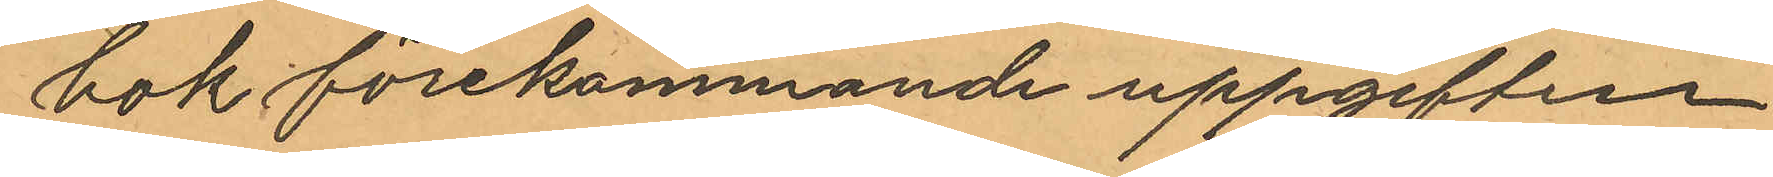bok förekommande uppgiften
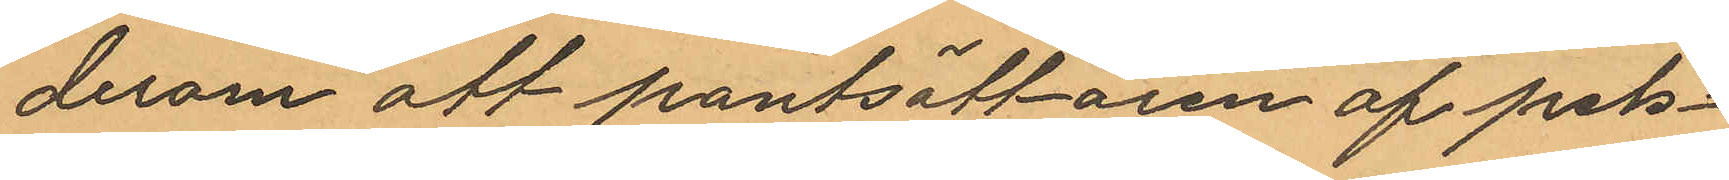derom att pantsättaren af pels¬
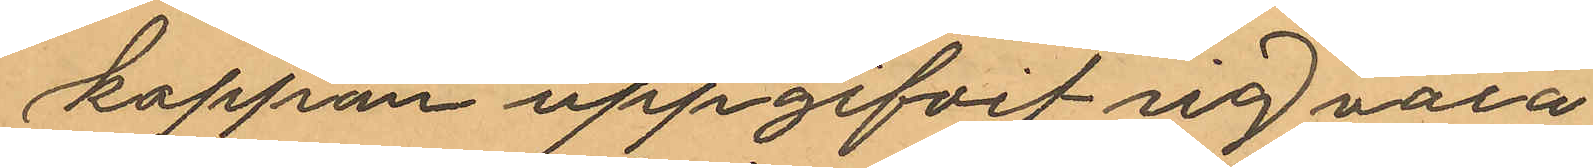kappan uppgifvit sig vara
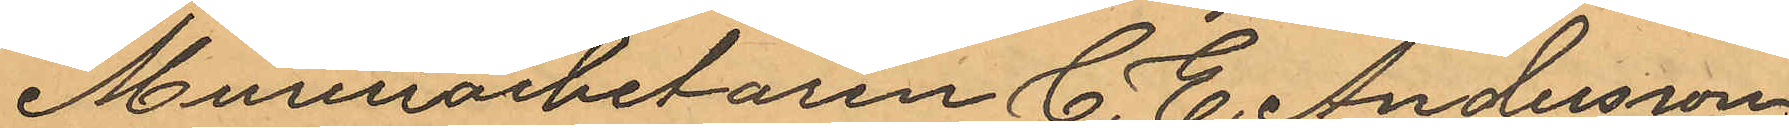Mureriarbetaren C. E. Andersson,
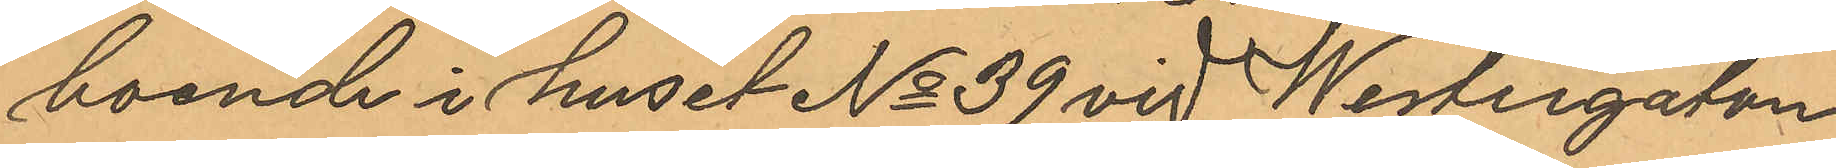boende i huset No 39 vid Westergatan
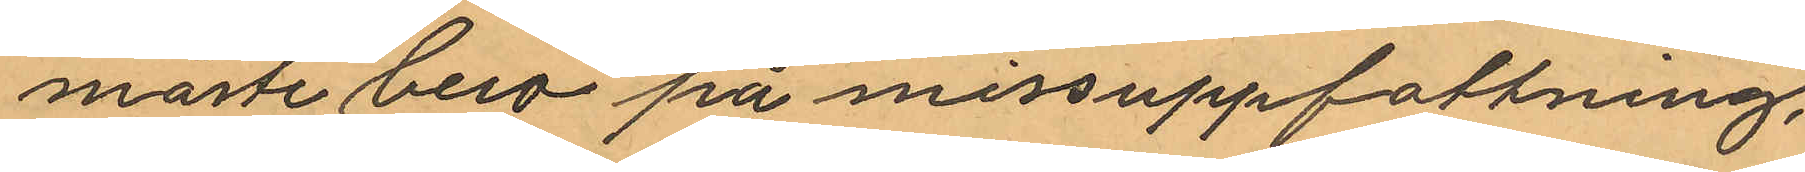måste bero på missuppfattning,
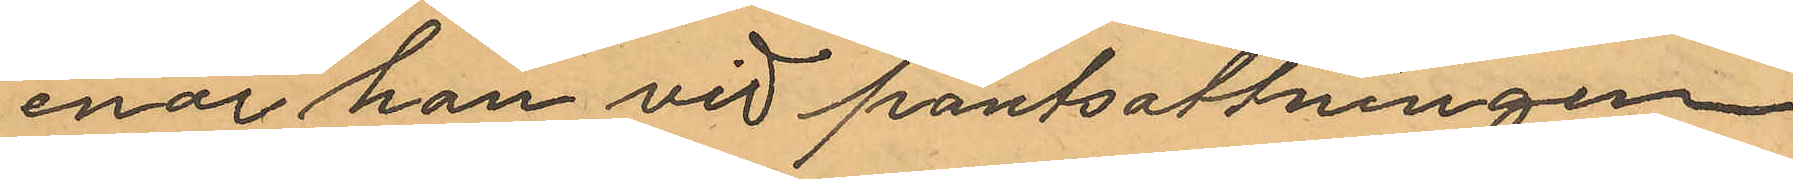enär han vid pantsättningen
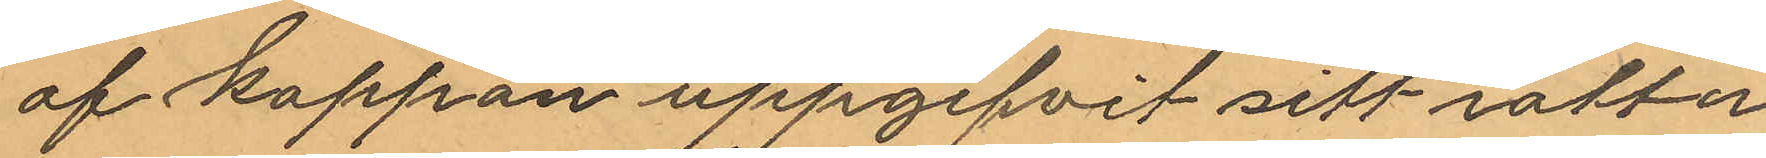af kappan uppgifvit sitt rätta
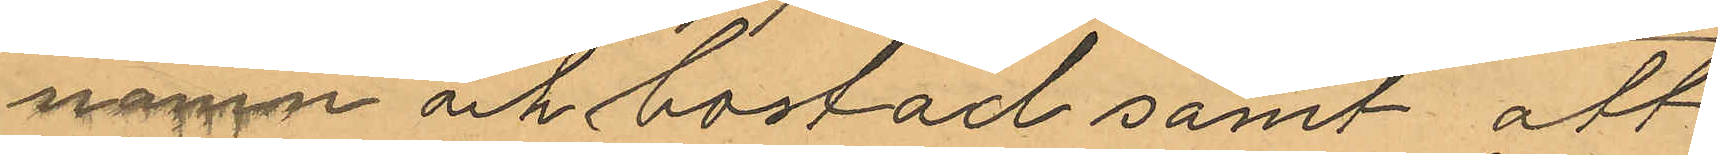namn och bostad samt att
